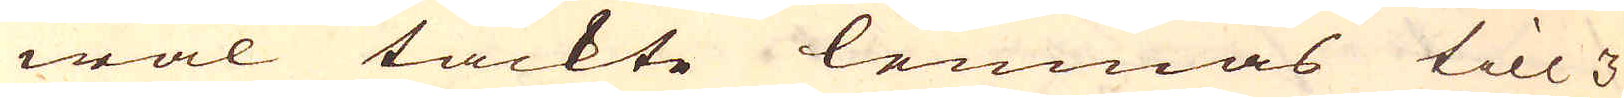wäl täckte lemnas till 3
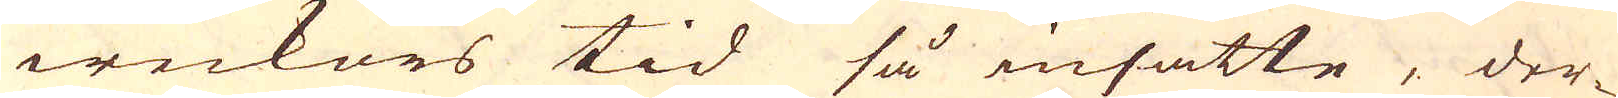weckors tid så insatte, der-
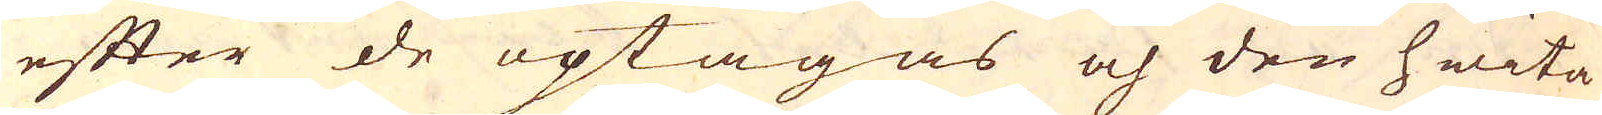efter de optagas och den hwita
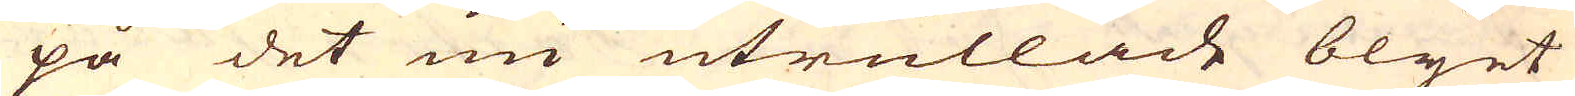på det nu utrullade blyet
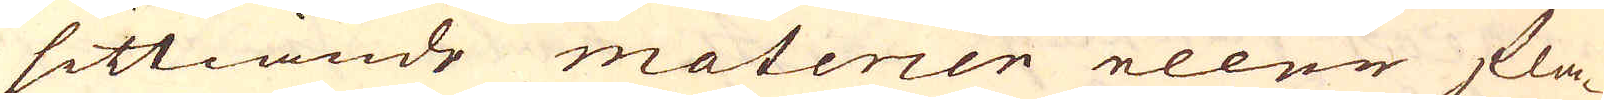sittiande materien eller fla-
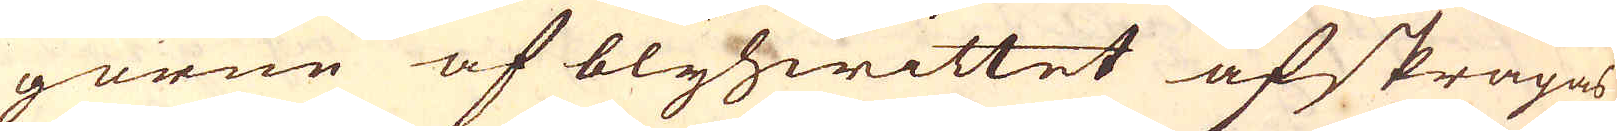gorne af blyhwittet afskrapas
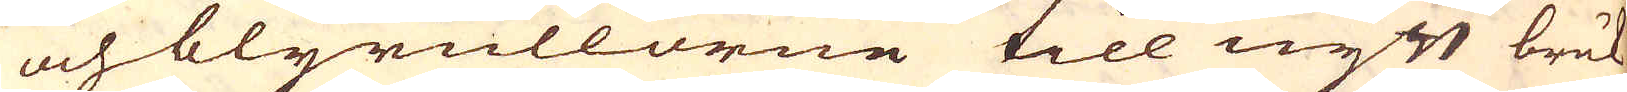och blyrullorne till nytt bruk
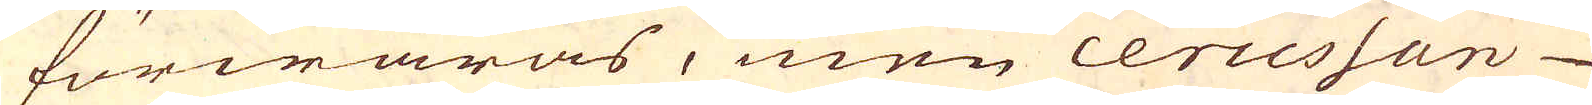förwaras, men ceruessan
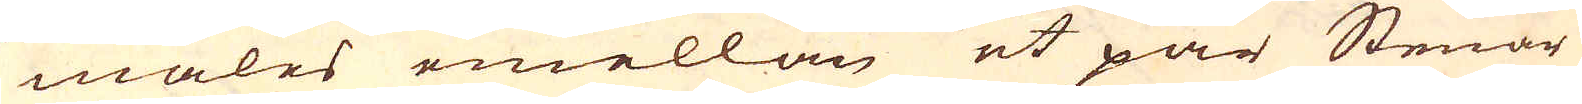males emellan et par Stenar
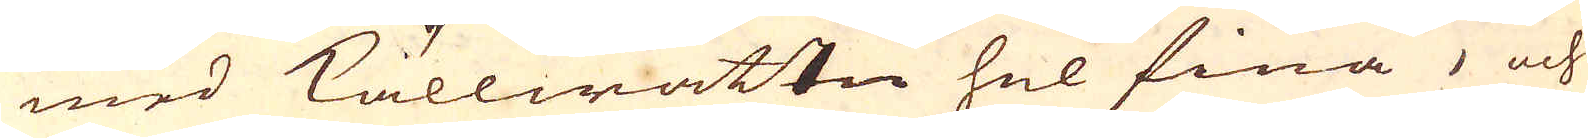med källwattn hel fina, och
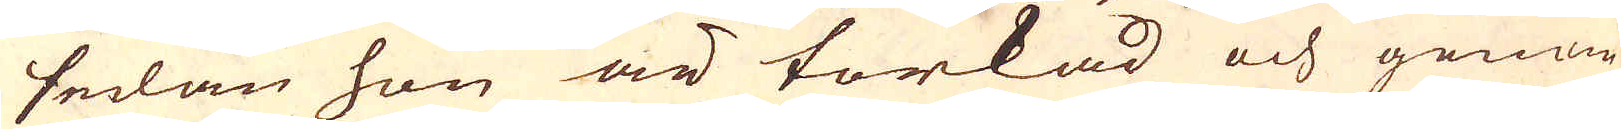sedan hon är torkad och genom
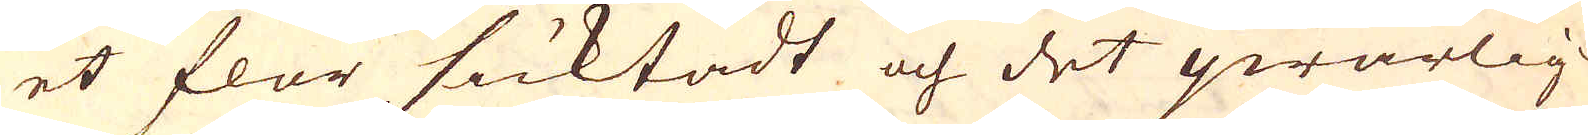et flor sicktadt och det qwarlig-
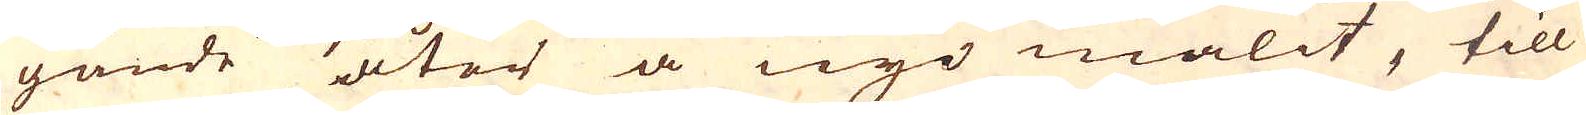gande grofwa åter å nyo malit, till
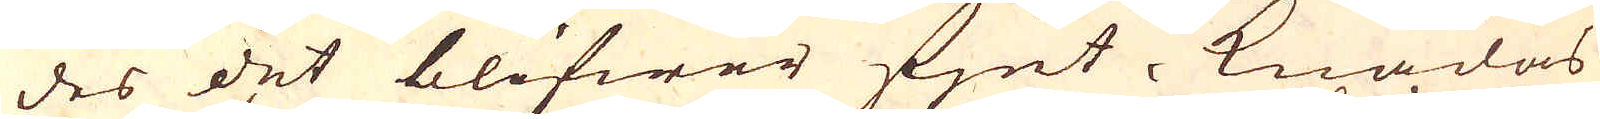des det blifwer fjnt- knådas
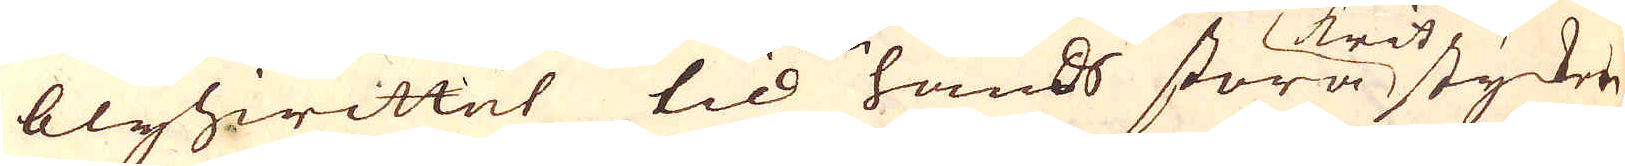blyhwittet till en hands stor krit stycken
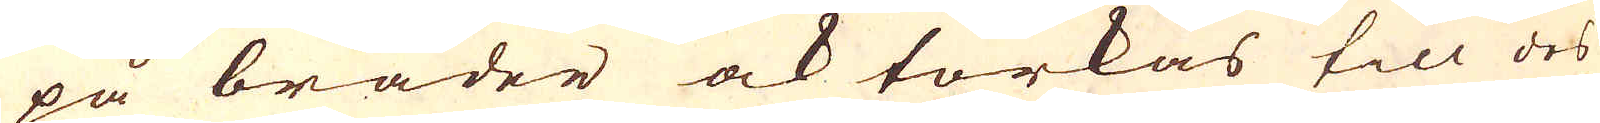på bräder ock torkas till des
